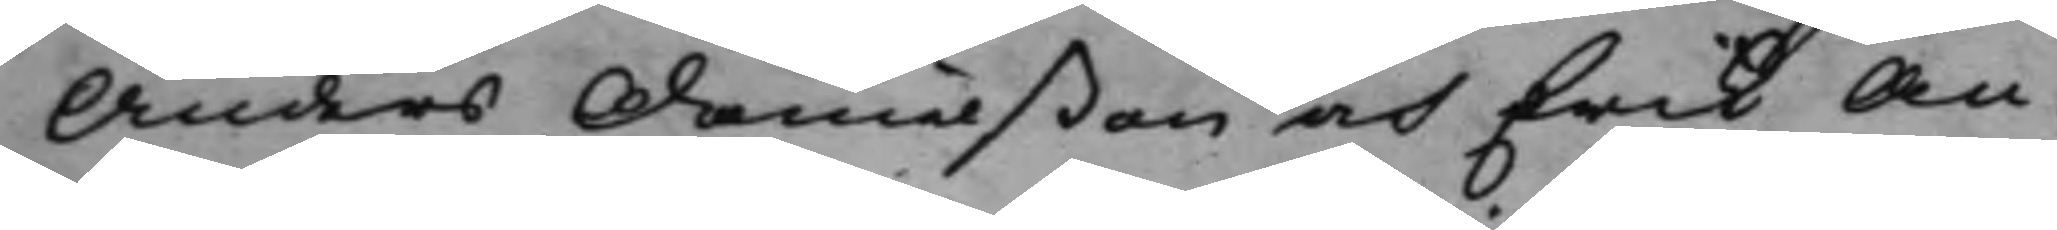Anders Danielßon och Erik An¬
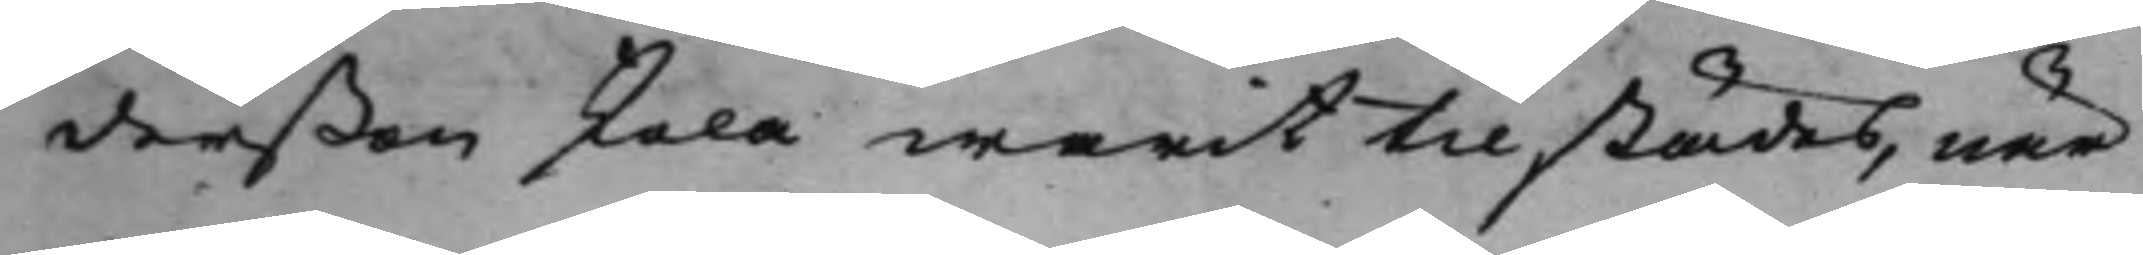derßon skola warit tilstädes, när
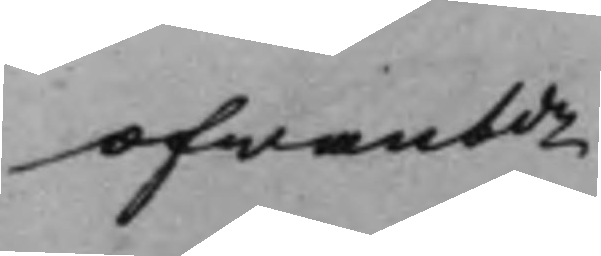ofwanbde 
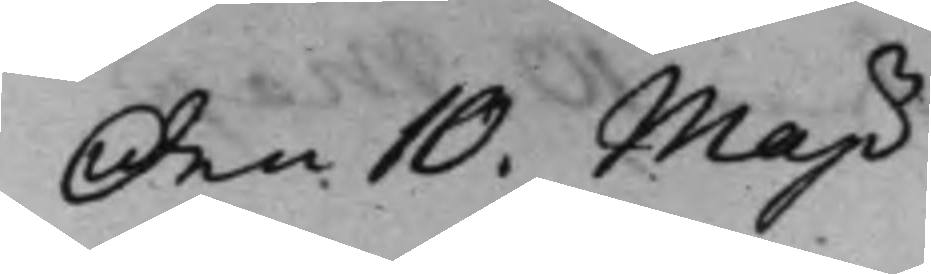den 10. Maji
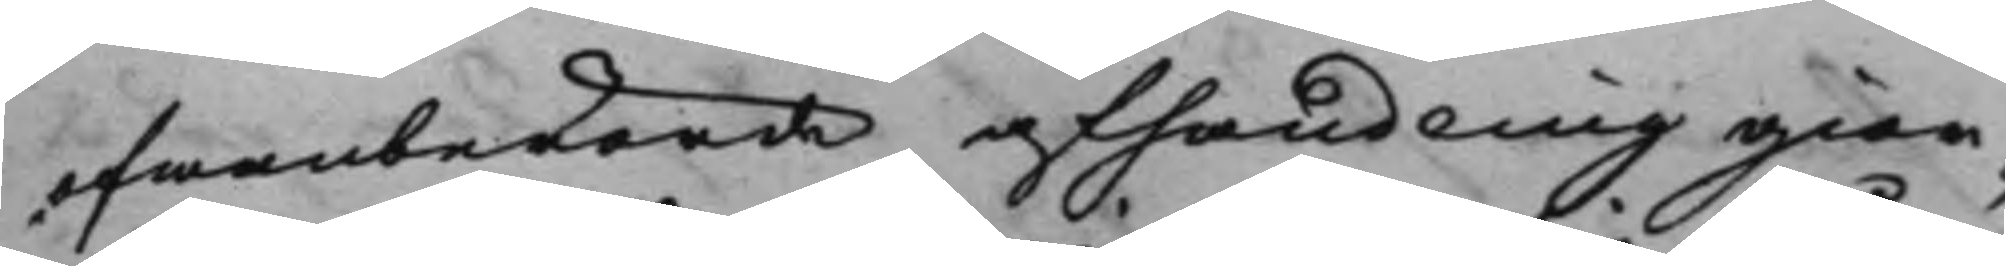ofwanberörde afhandling gior¬
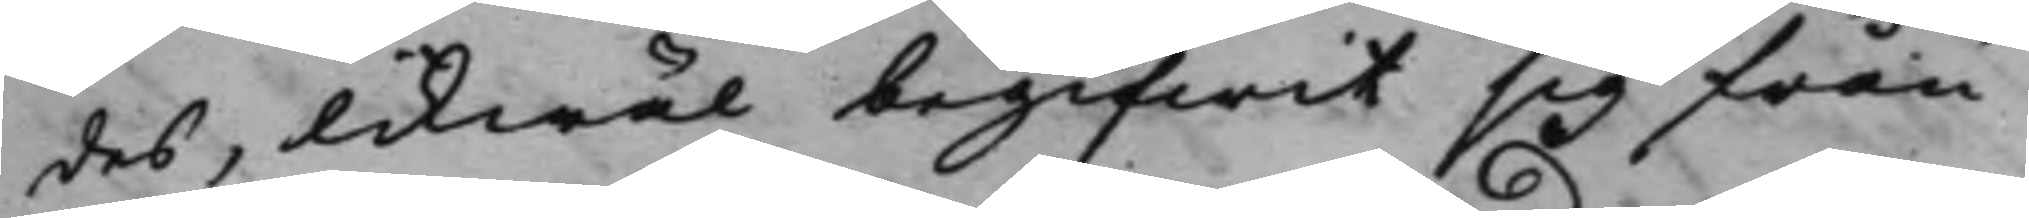des, likwäl begifwit sig från
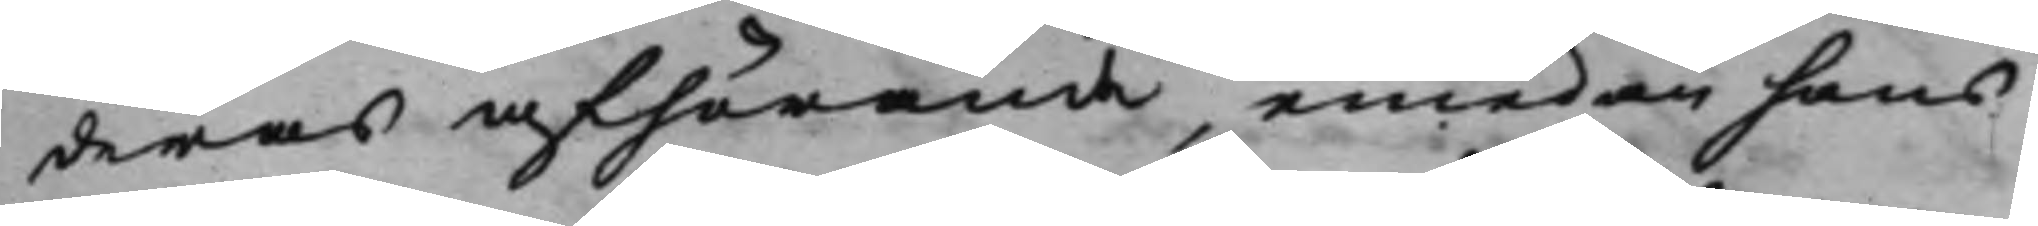deras afhörande, emedan hans
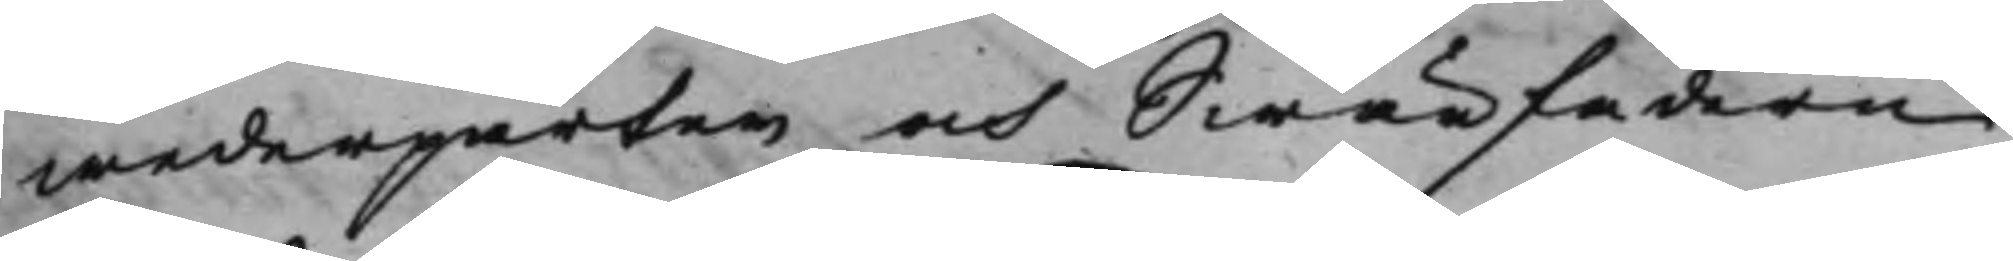wederparter och Swärfadern
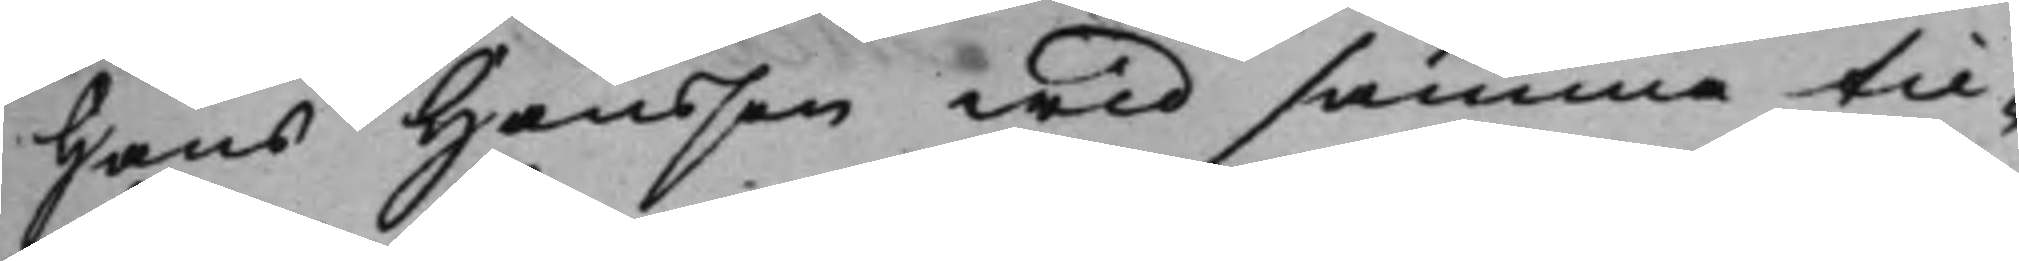Hans Hansson wid samma til¬
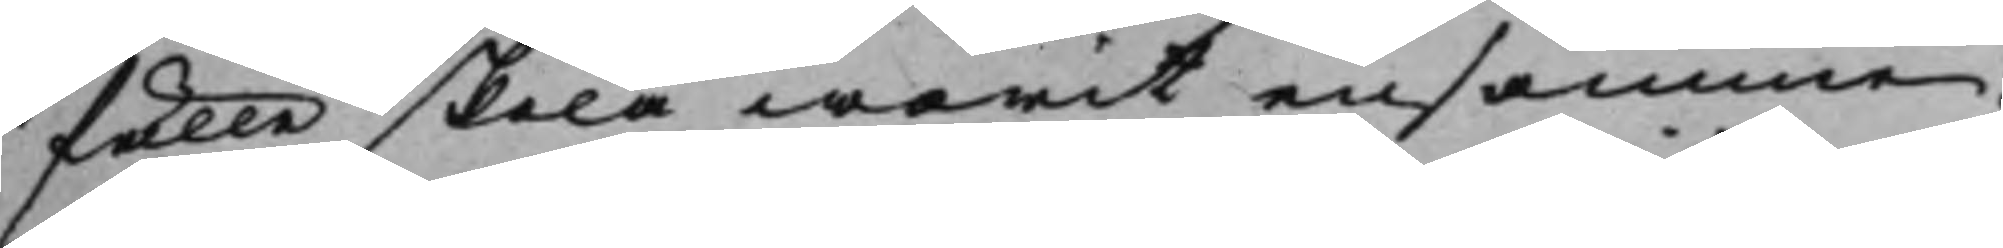fälle skola warit ensamma;
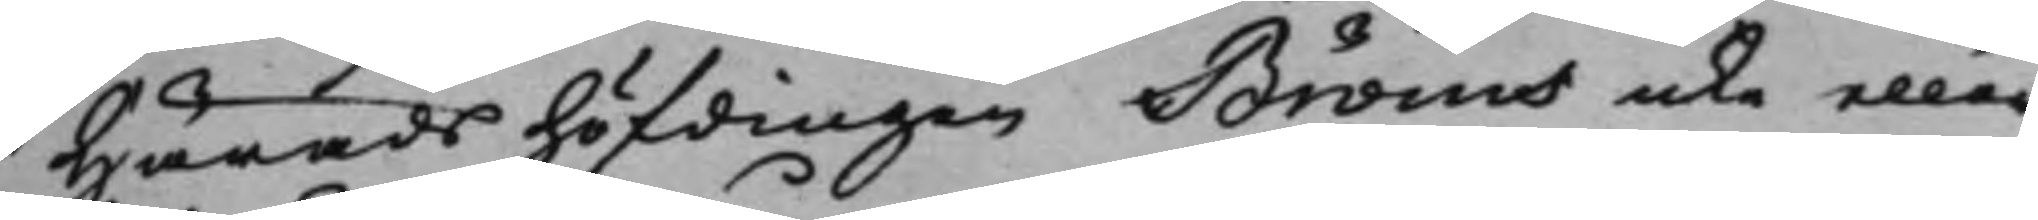Häradshöfdingen Bröms icke eller
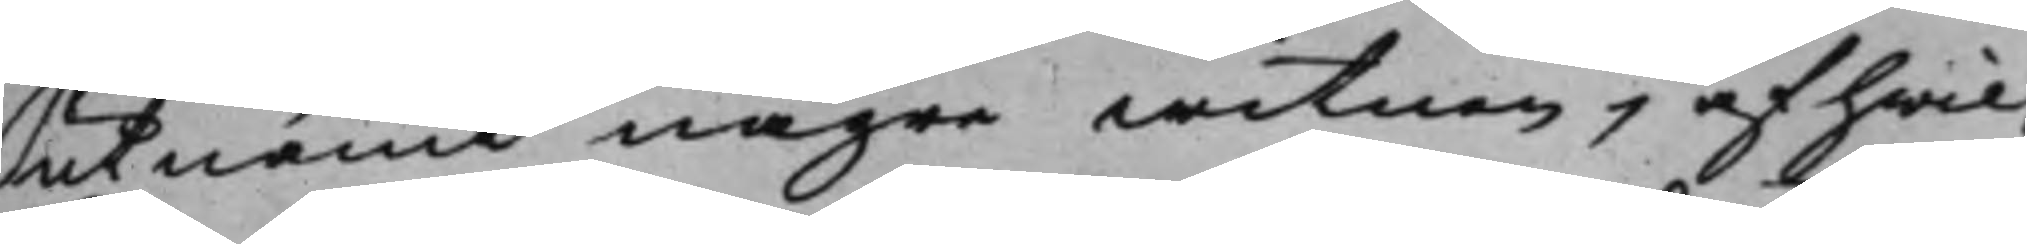utnämt någre witnen, af hwil¬
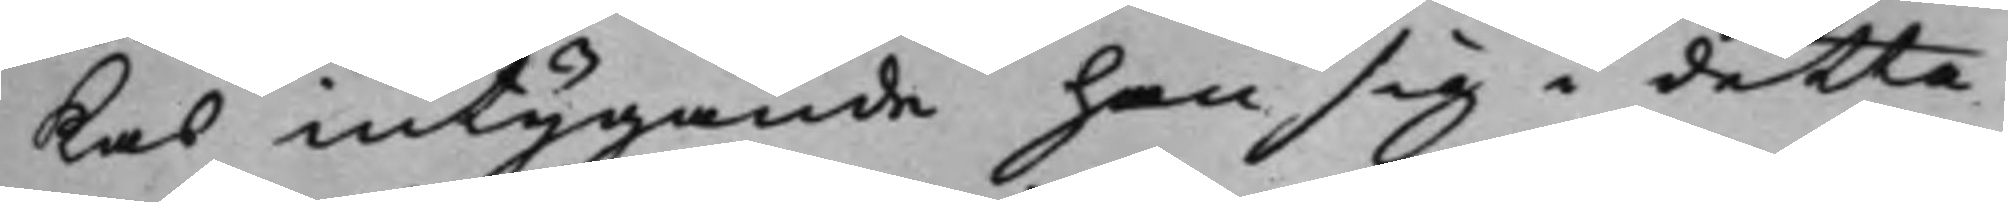kas intygande han sig i detta
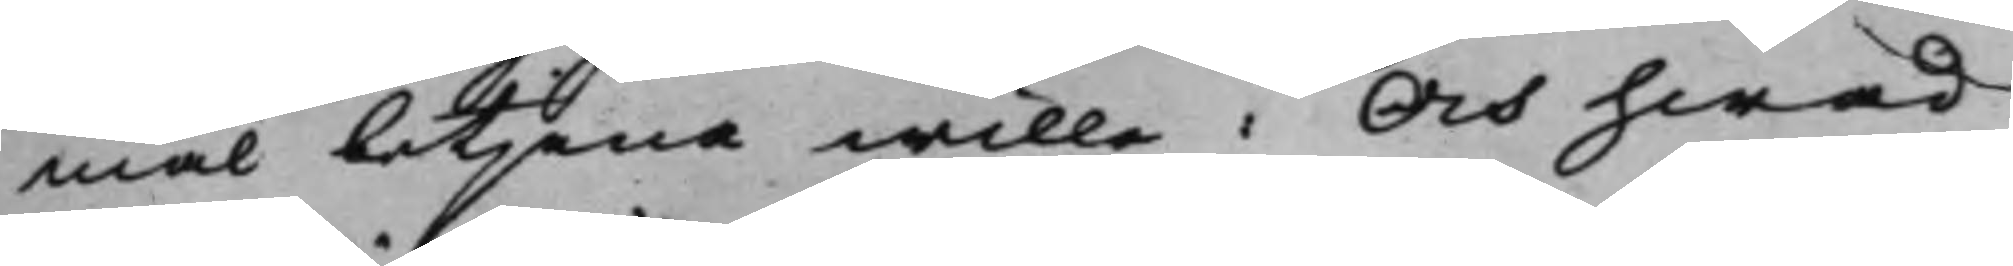mål betjena wille; Och hwad
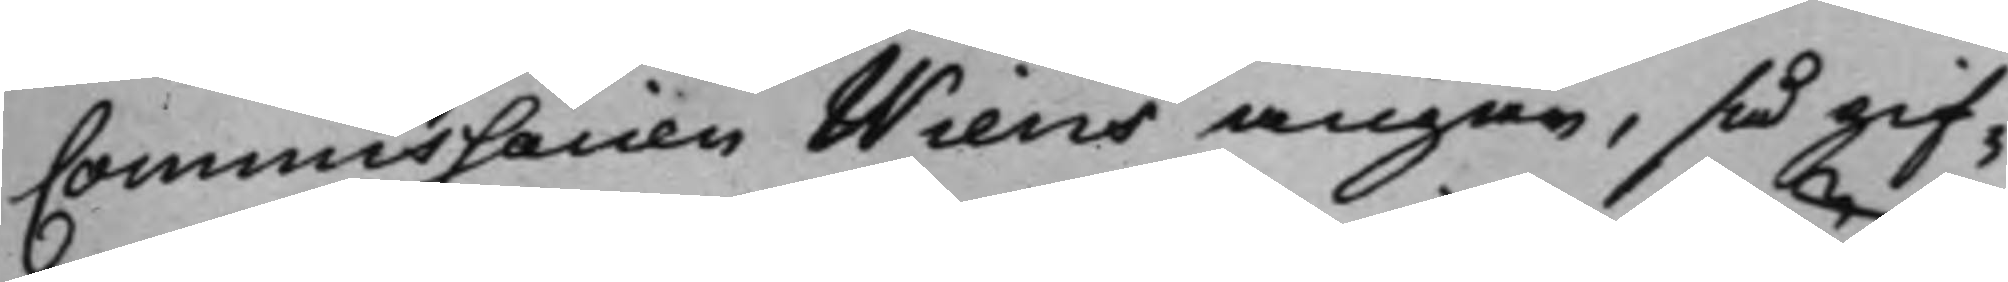Commissarien Wiens angå, så gif¬
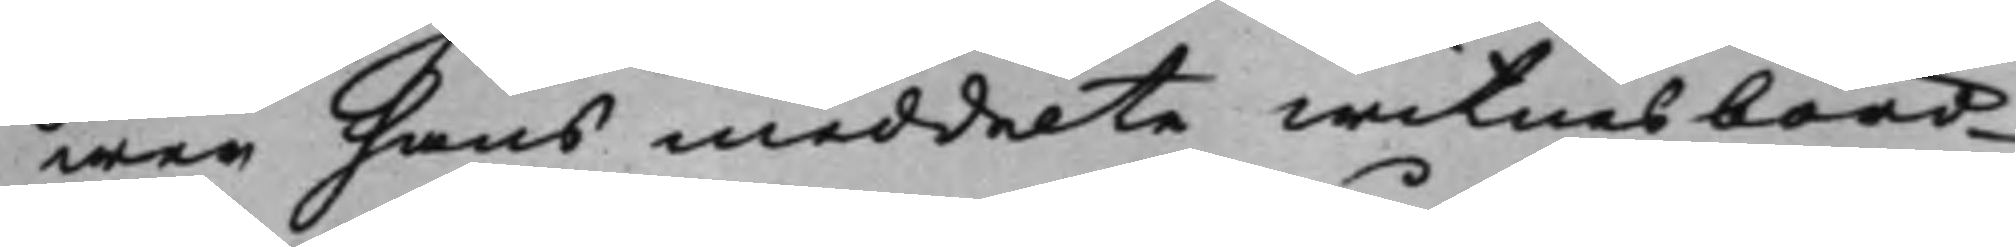wer hans meddelte witnesbörd
